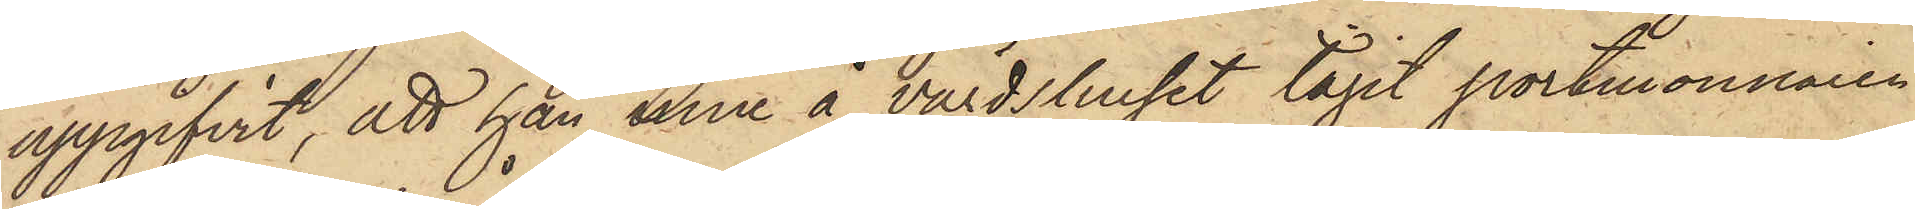uppgifvit, att han inne å värdshuset tagit portmonnaien
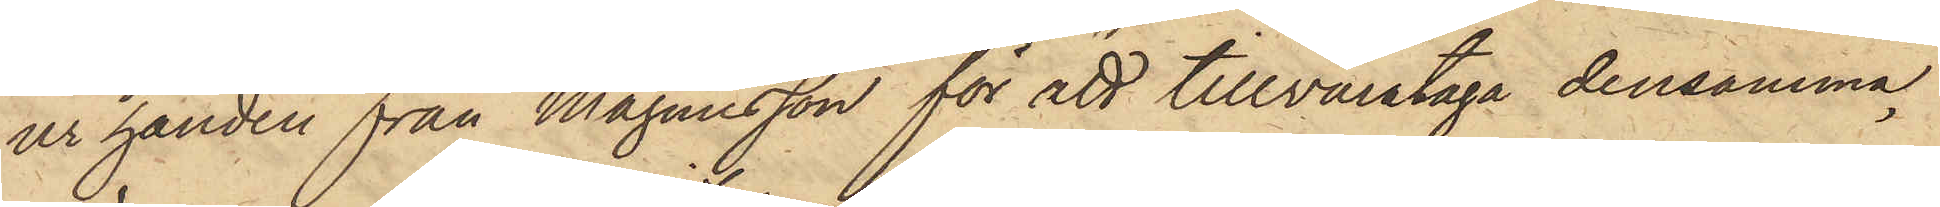ur handen från Magnusson för att tillvarataga densamma,
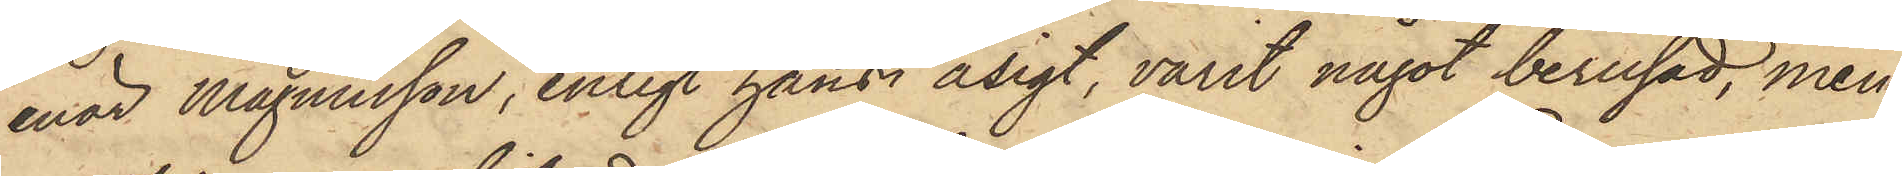enär Magnusson, enligt hans åsigt, varit något berusad, men
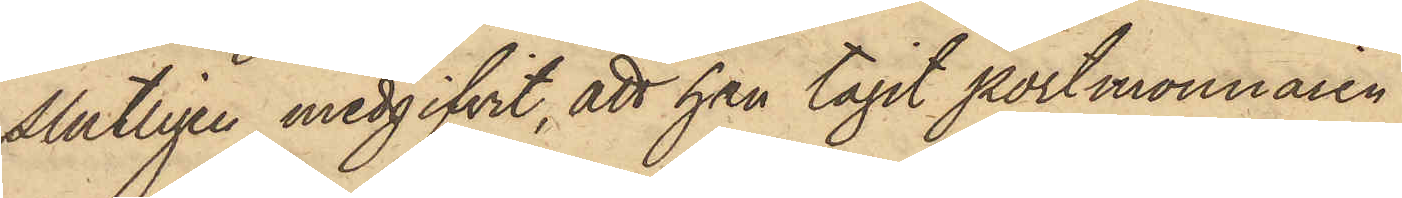slutliget medgifvit, att han tagit portmonnaien
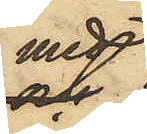med
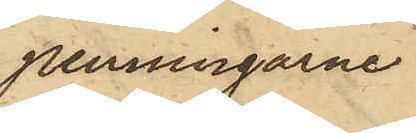penningarne
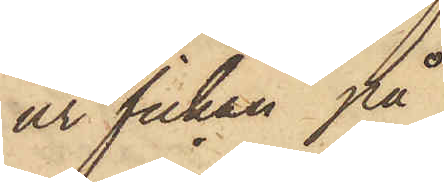ur fickan på
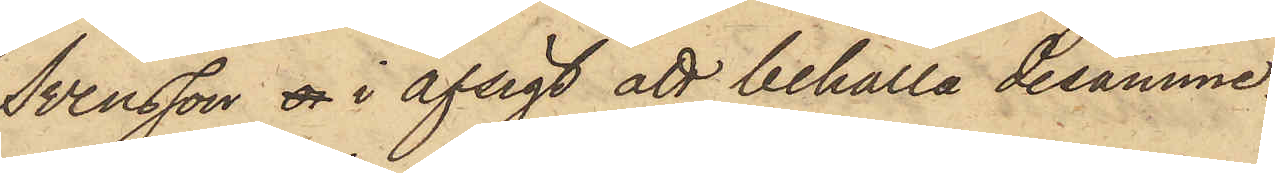Svensson a i afsigt att behålla desamme.
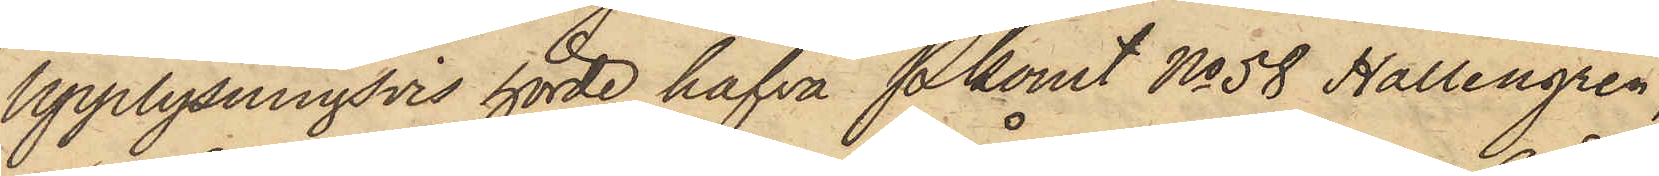Upplysningsvis hörde hafva Pkonst No 58 Hallengren,
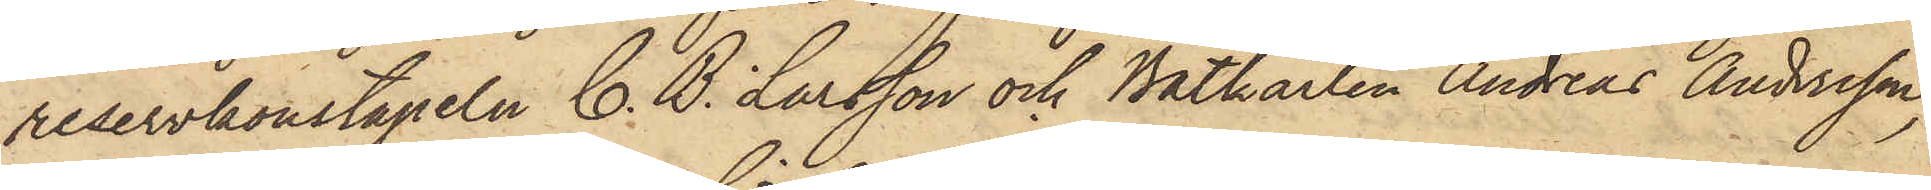reservkonstapeln C. B. Larsson och Båtkarlen Andreas Andersson,
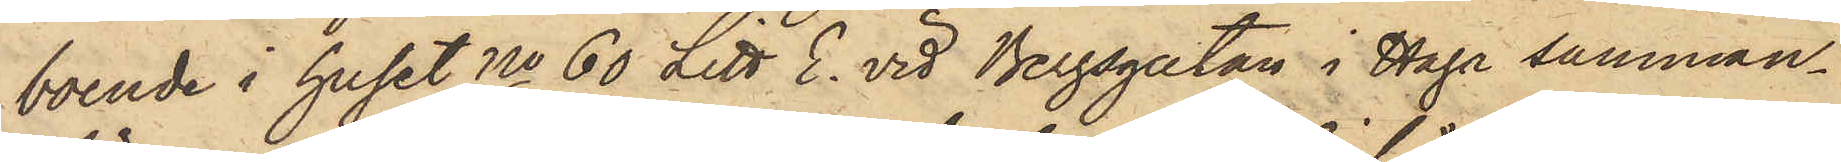boende i huset No 60 Litt. E. vid Bergsgatan i Haga samman¬
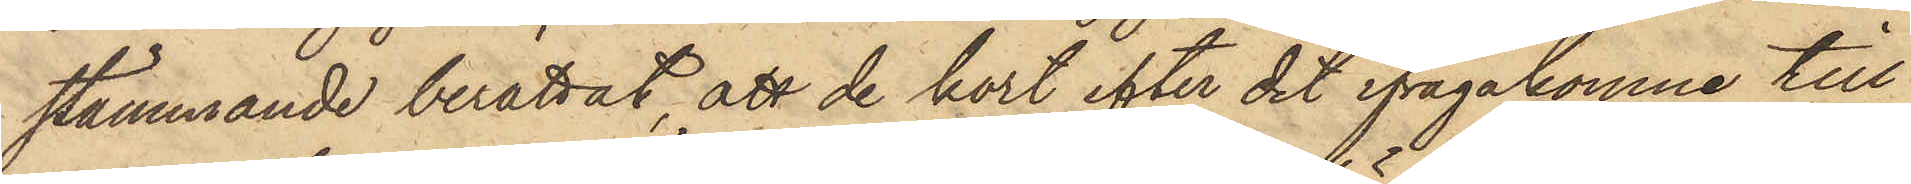stämmande berättat, att de kort efter det ifrågakomne till¬
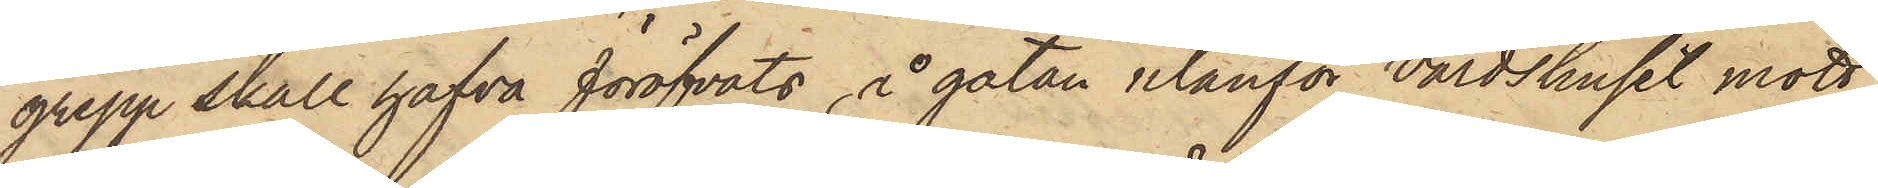grepp skall hafva föröfvats, å gatan utanför Värdshuset mött
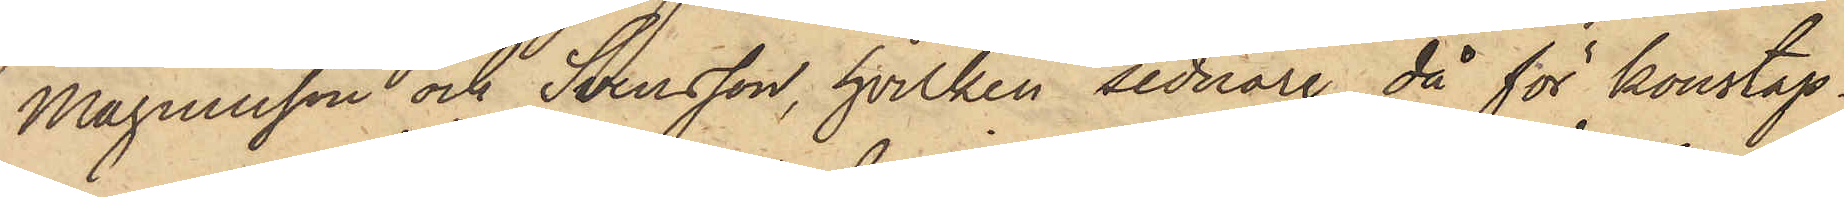Magnusson och Svensson, hvilken sednare då för konstap¬
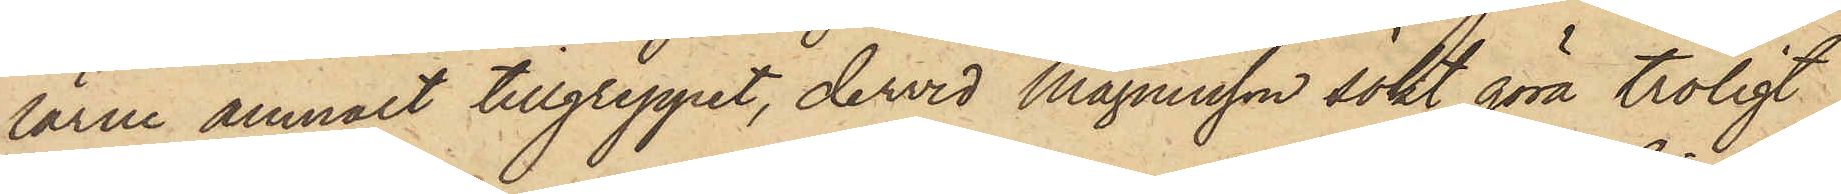larne anmält tillgreppet, dervid Magnusson sökt göra troligt,
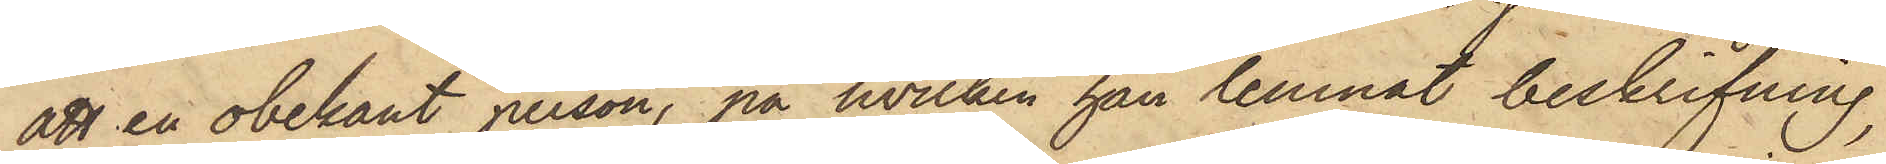att en obekant person, på hvilken han lemnat beskrifning,
